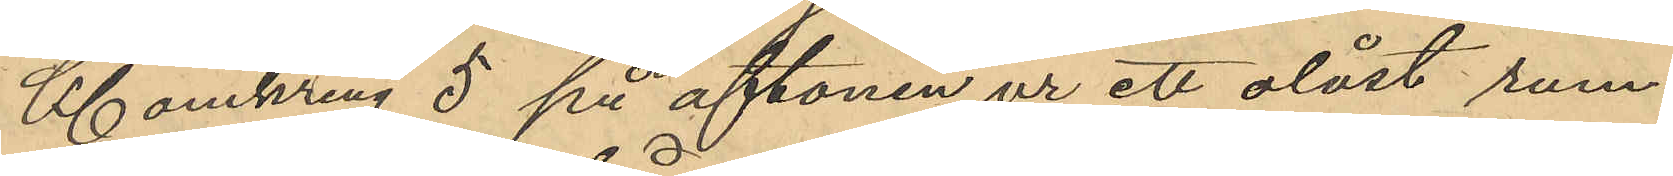Kl omkring 5 på aftonen ur ett olåst rum 
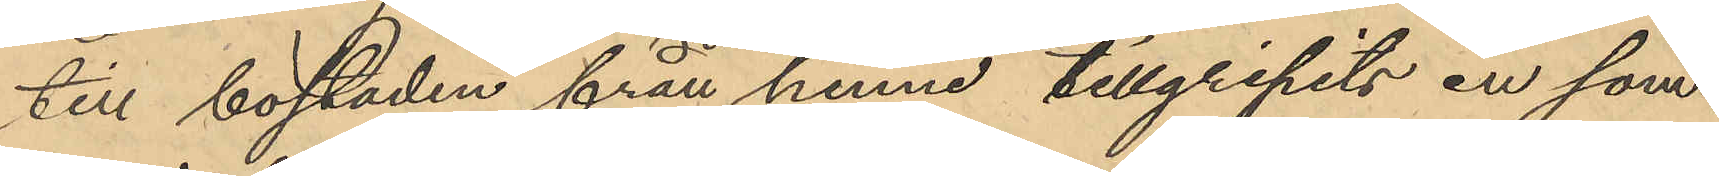till bostaden från henne tillgripits en som¬
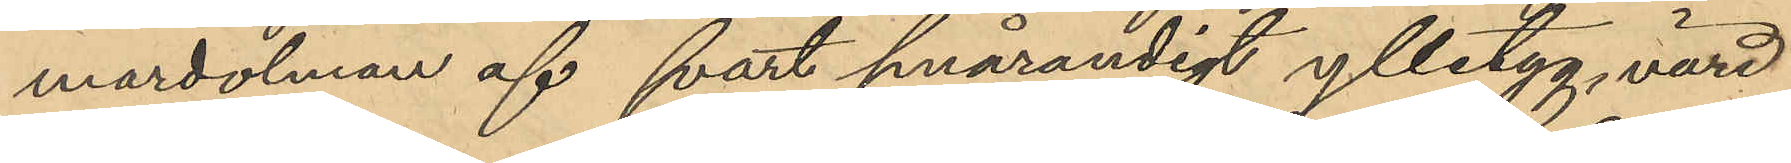mardolman af svart smårandigt ylletyg, värd
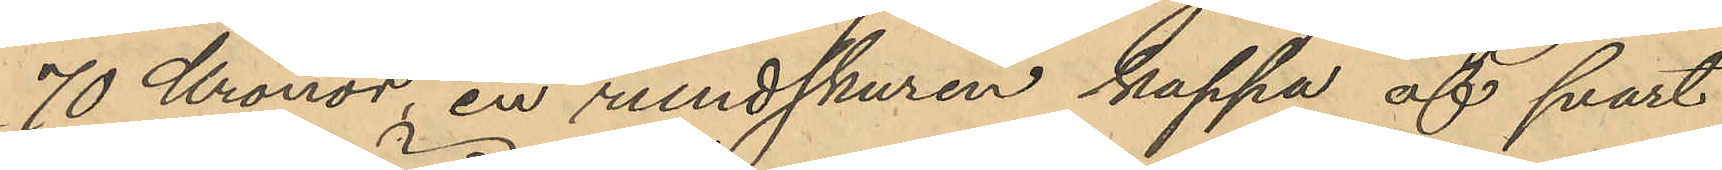70 Kronor, en rundskuren kappa af svart
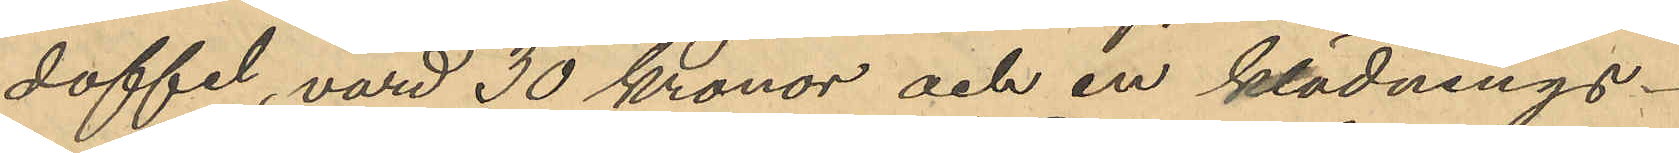doffel, värd 30 kronor och en klädnings¬
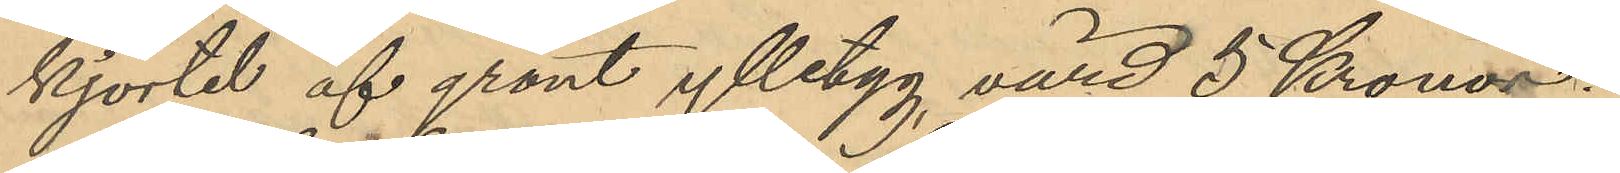kjortel af grönt ylletyg, värd 5 Kronor.
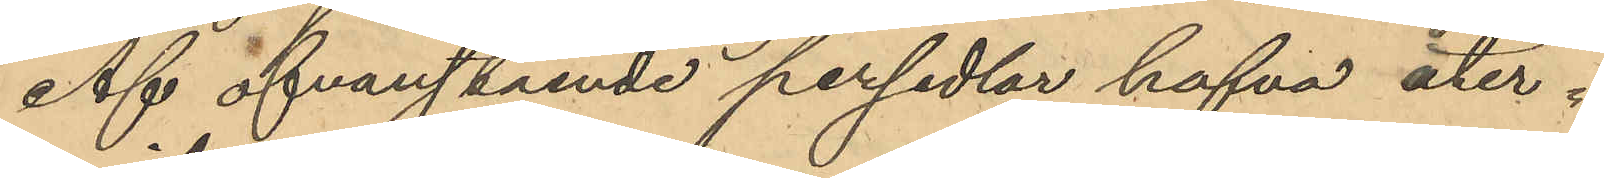Af ofvanstående persedlar hafva åter¬
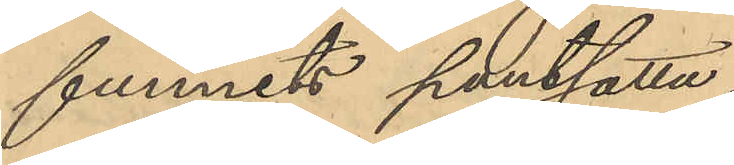funnits pantsatta.
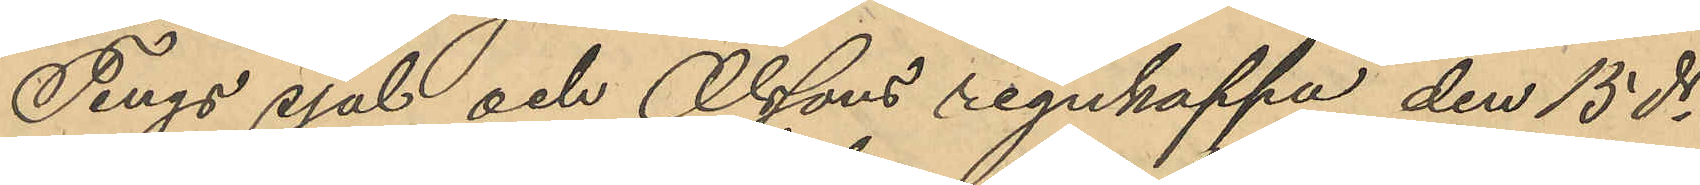Tings sjal och Olssons regnkappa den 15 ds
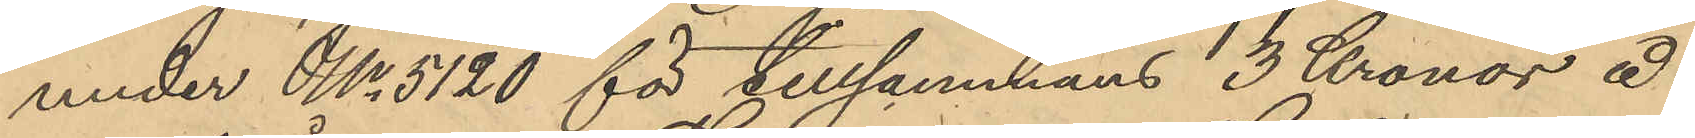under No 5120 för tillsammans 3 Kronor å
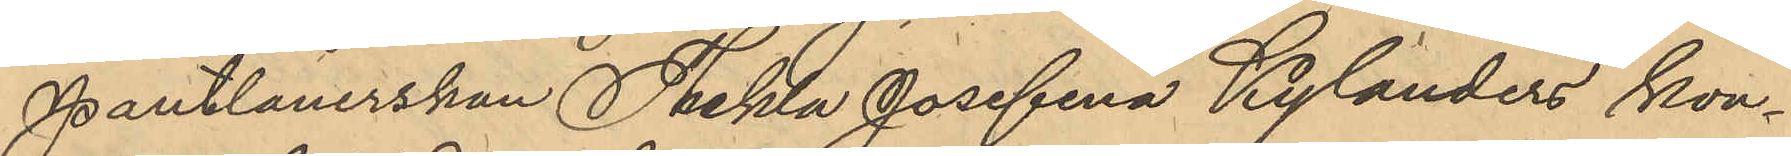Pantlånerskan Thekla Josefina Kylanders kon¬
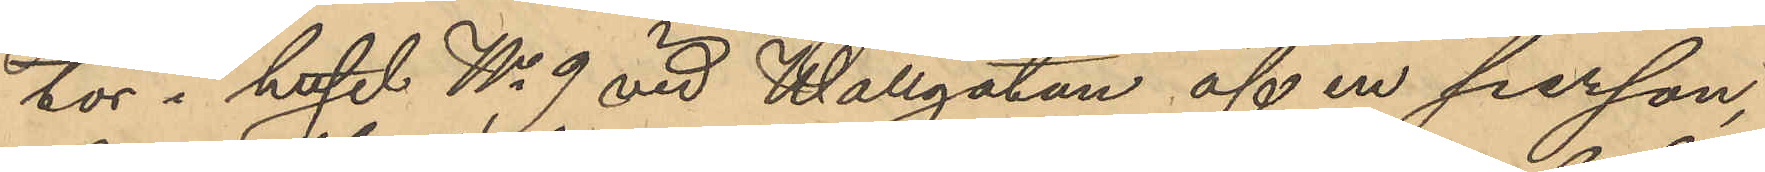tor i huset No 9 vid Wallgatan af en person,
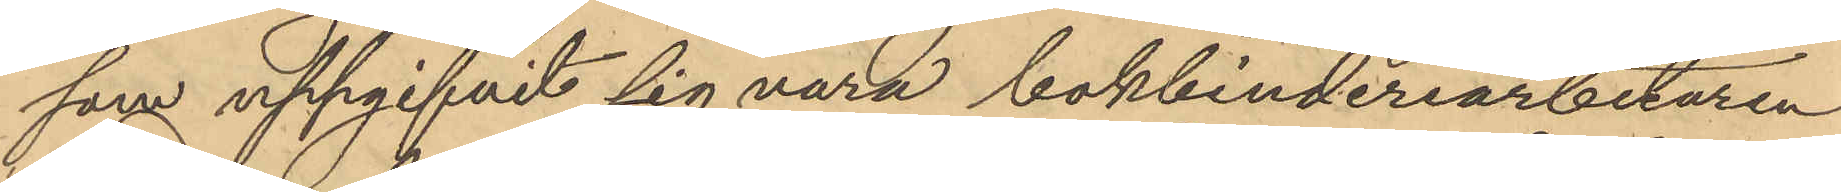som uppgifvit sig vara bokbinderiarbetaren
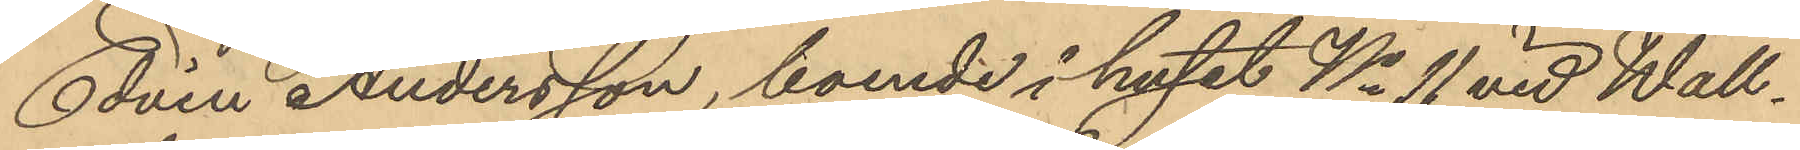Edvin Andersson, boende i huset No 11 vid Wall¬
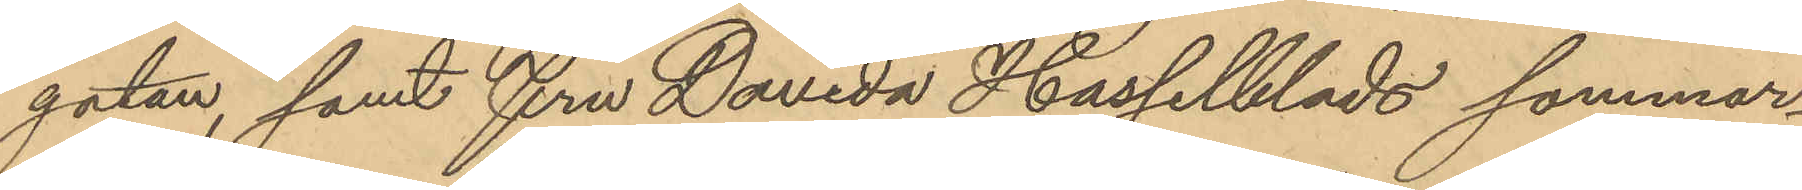gatan, samt fru Davida Hasselblads sommar¬
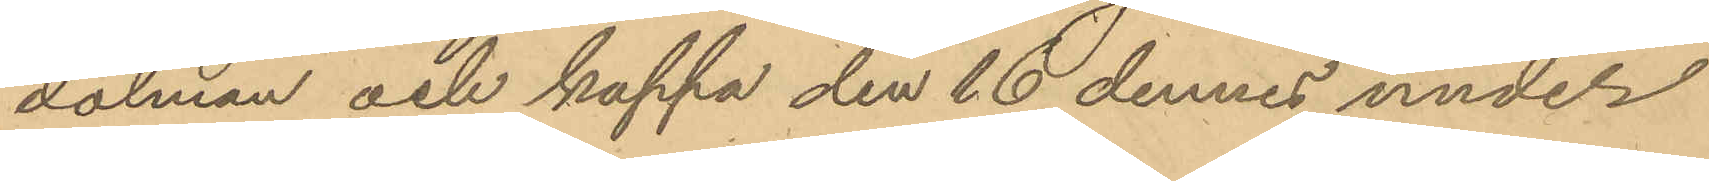dolman och kappa den 16 dennes under
